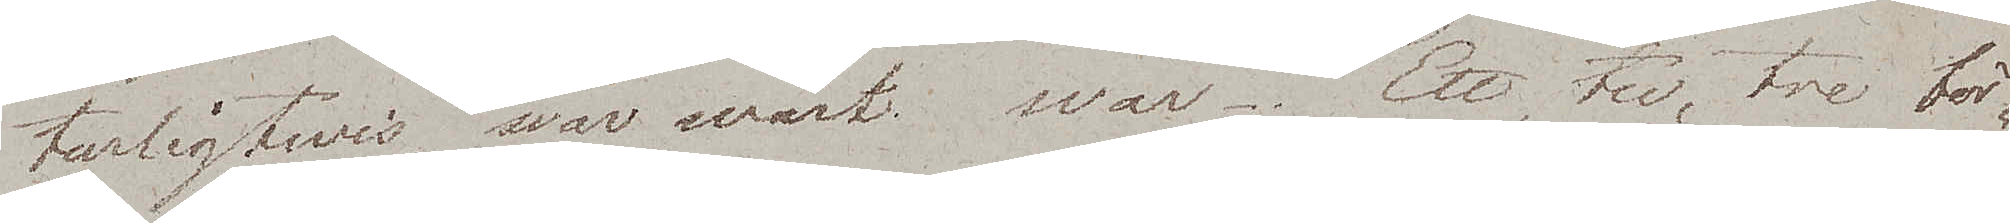turligtwis, war wårt svar. Ett, tu, tre bör¬
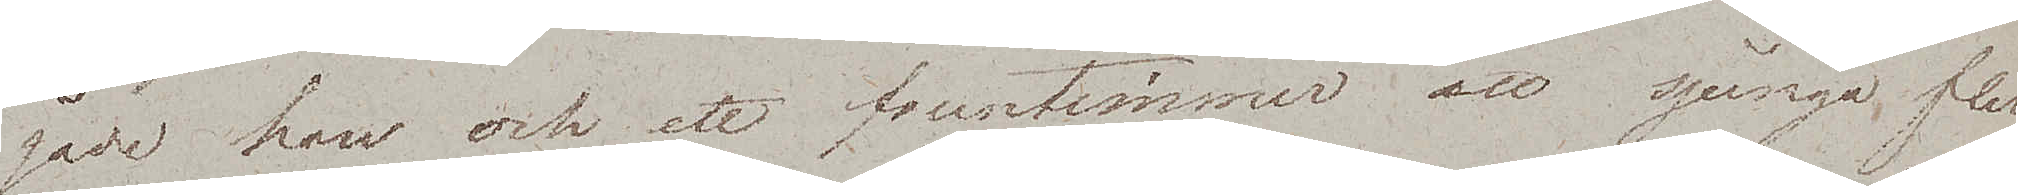gade han och ett fruntimmer att sjunga, fler
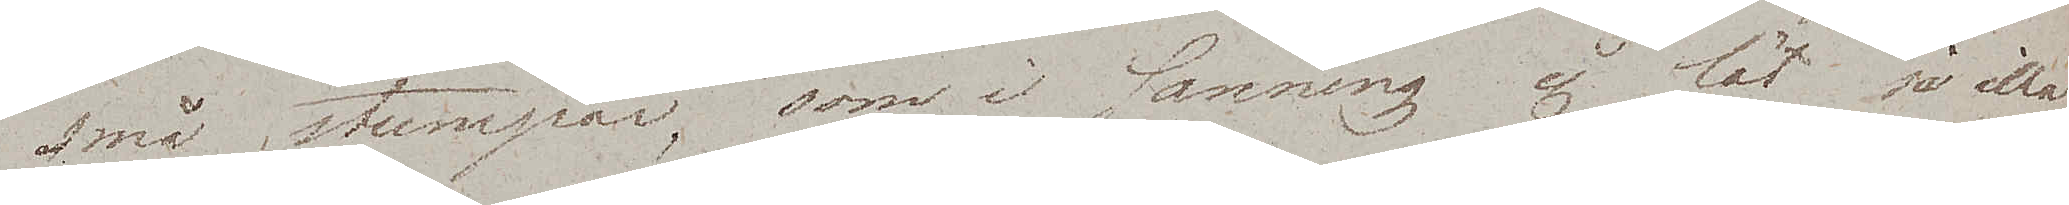små stumpar, som i sanning ej lät så illa.
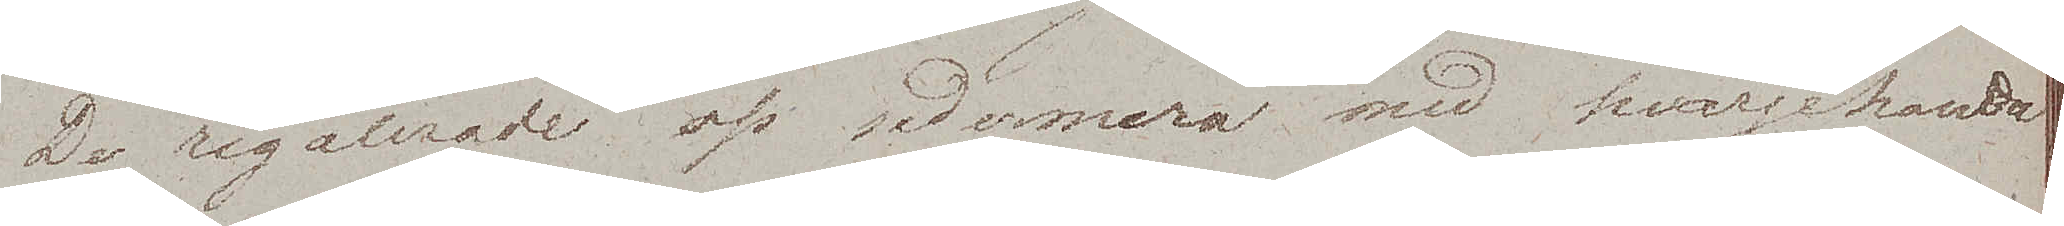De regalerade oss sedermera med hvarjehanda
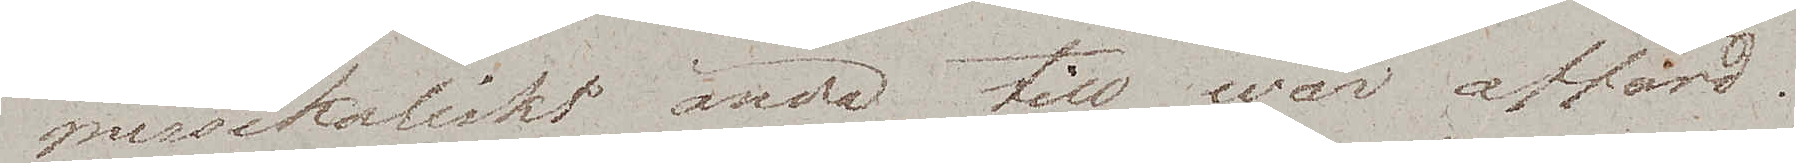musikaliskt ända till wår affärd.
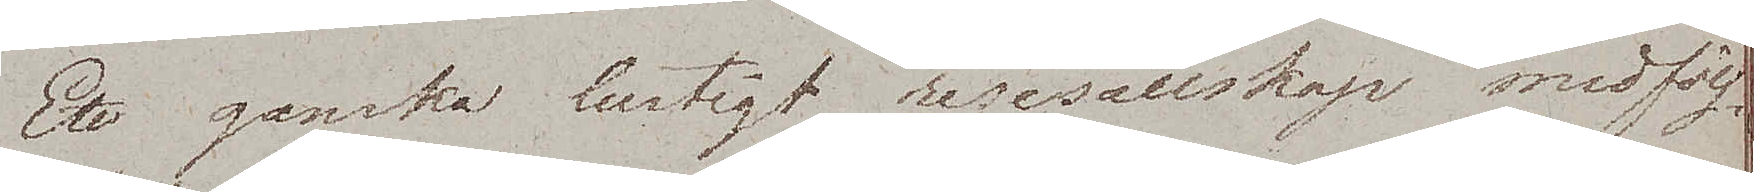Ett ganska hurtigt resesällskap medfölj¬
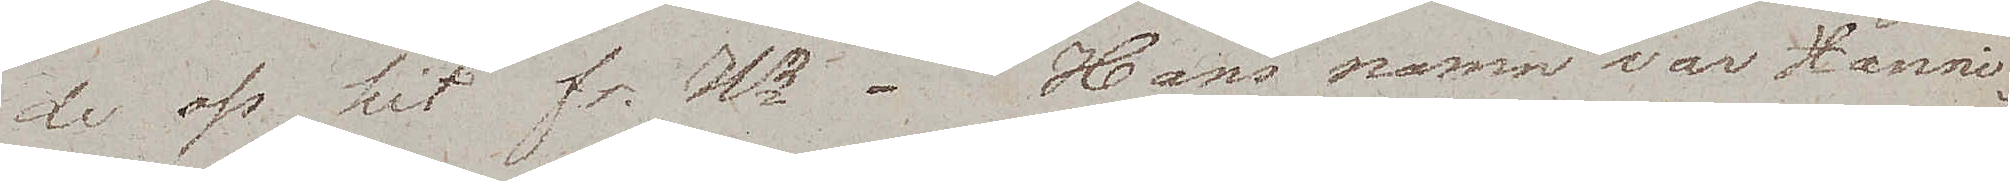de oss hit fr. Hg. Hans namn var Hanni¬
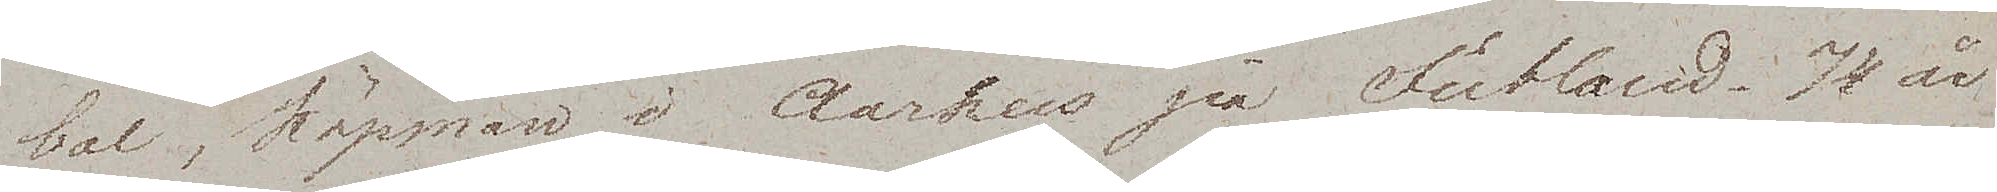bal, köpman i Aarhus på Jutland. 74 år
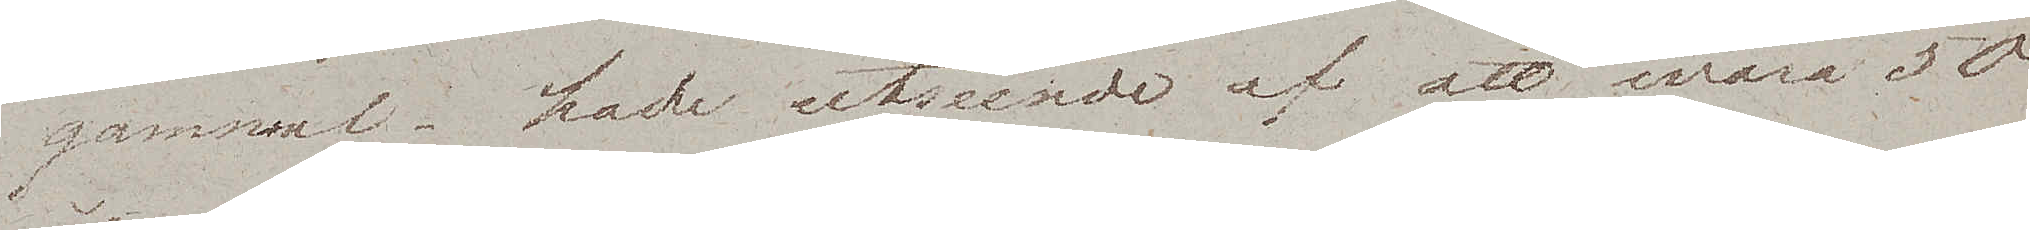gammal – hade utseende af att wara 50
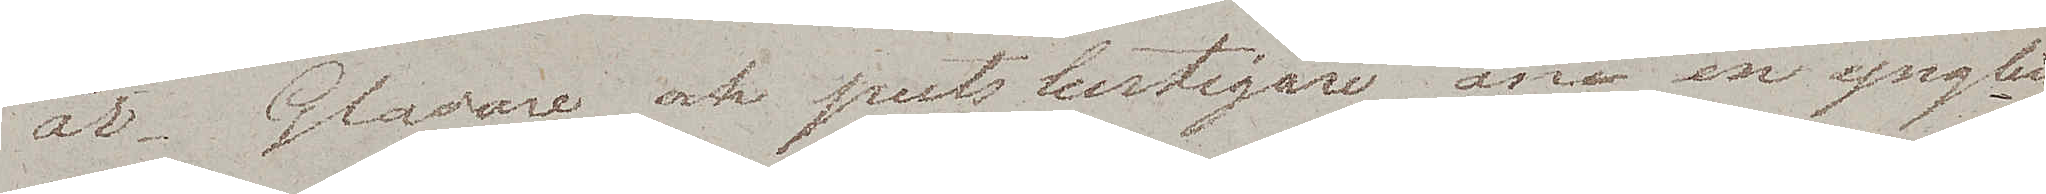år. Gladare och putslustigare än en yngling
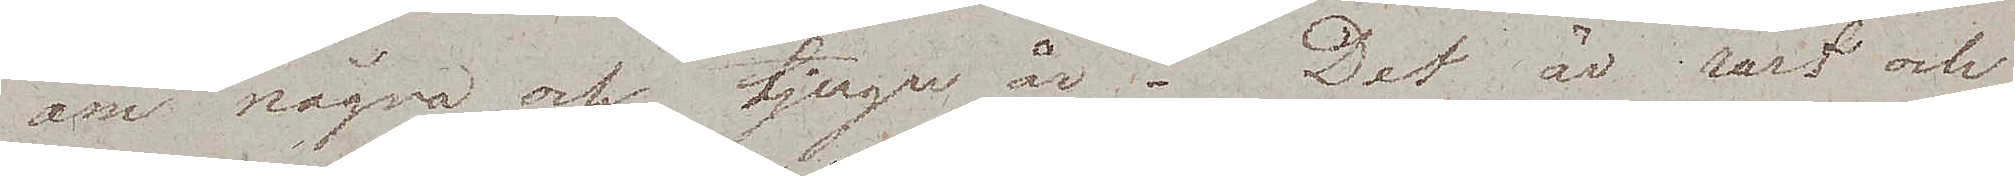om några och tjugu år. Det är rart och
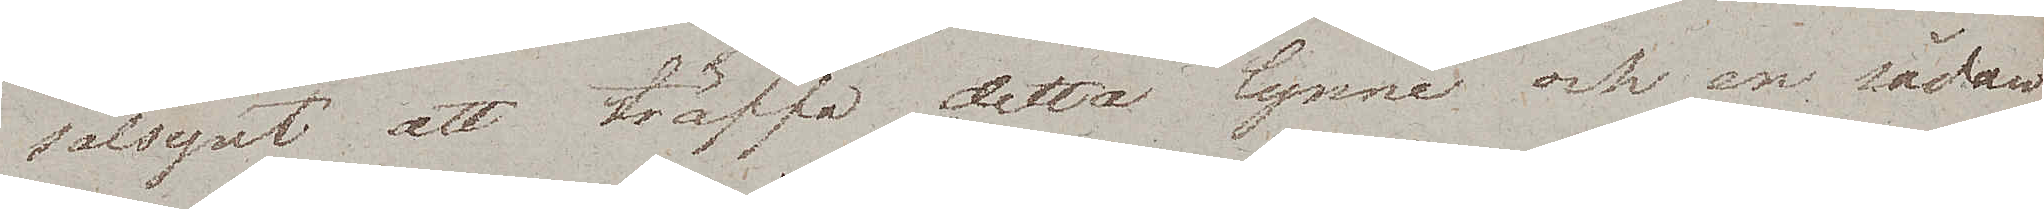sälsynt att träffa detta lynne och en sådan
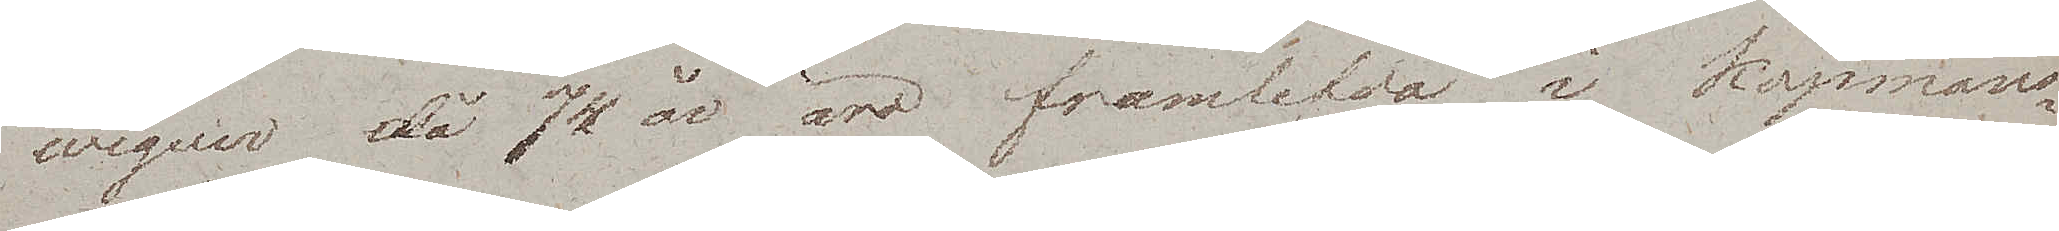wigeur  då 74 år äro framlefda i Köpmans¬
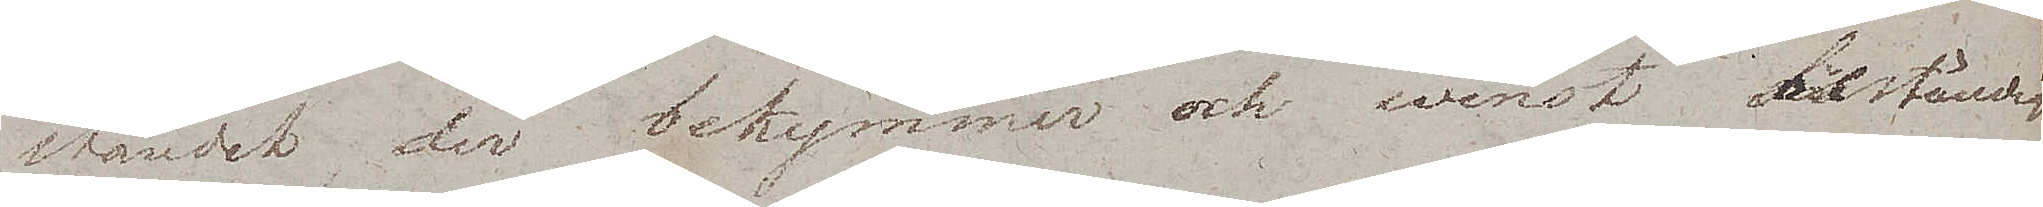ståndet der bekymmer och winst beständigt
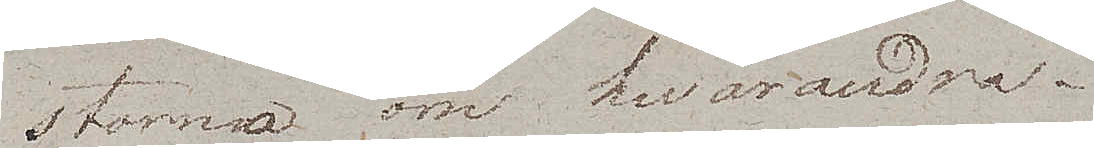storma om hvarandra.
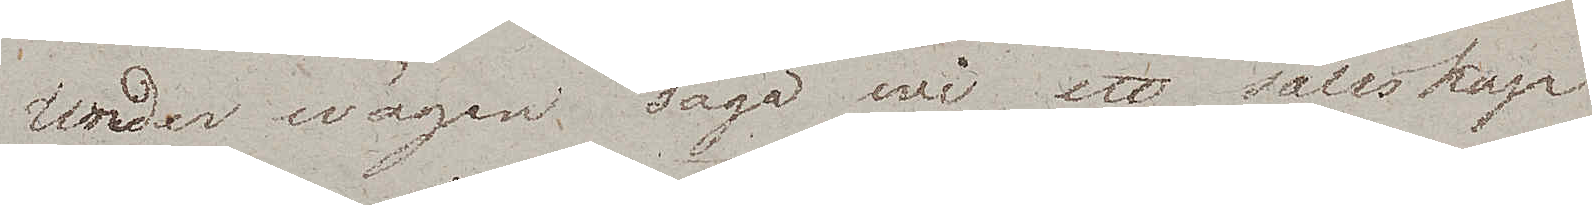Under wägen sågo wi ett sällskap
